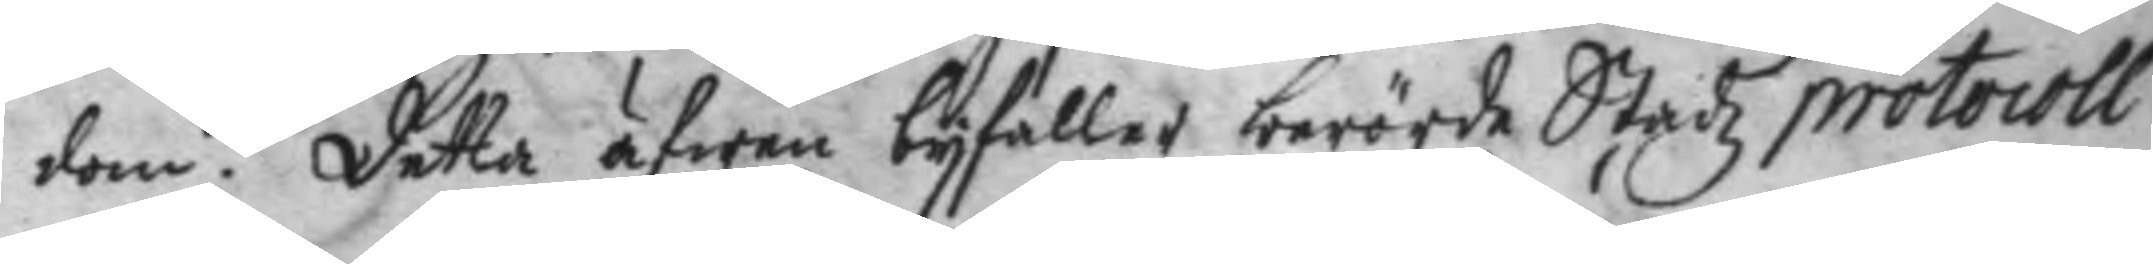dom. Detta äfwen byfaller berörde Stadz protocoll
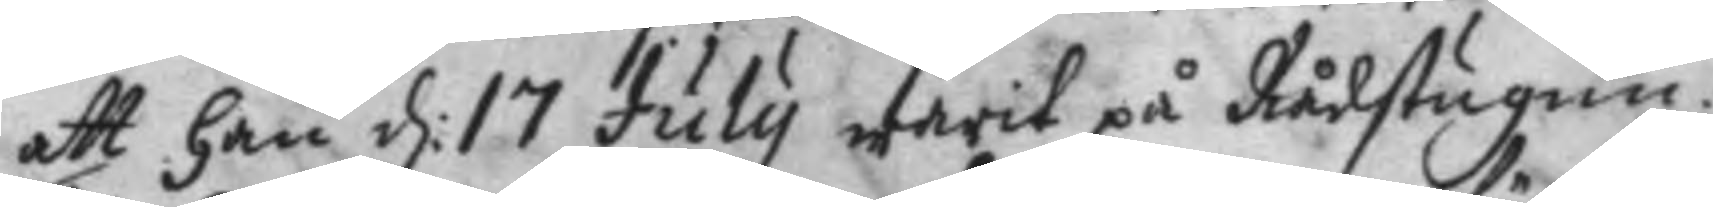att han d: 17 July warit på Rådstugun. 
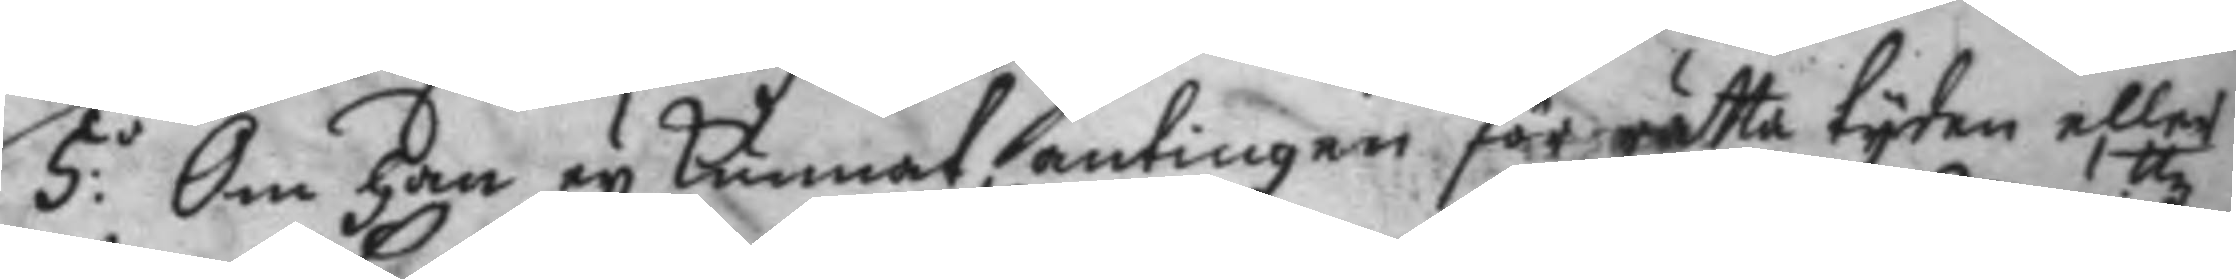5:o Om Han ey Kunnat, antingen för rätta tyden eller 
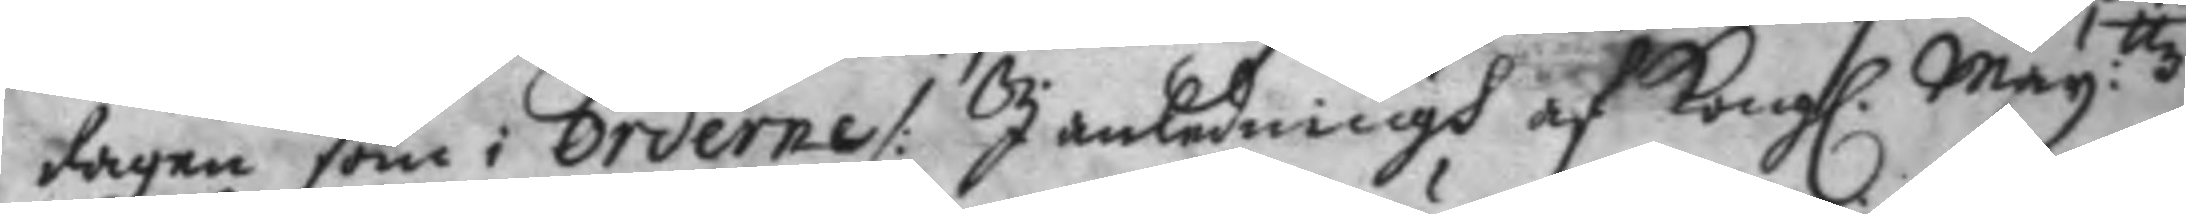dagen som i Orderne /: I anledningh af Kong. May:ttz 
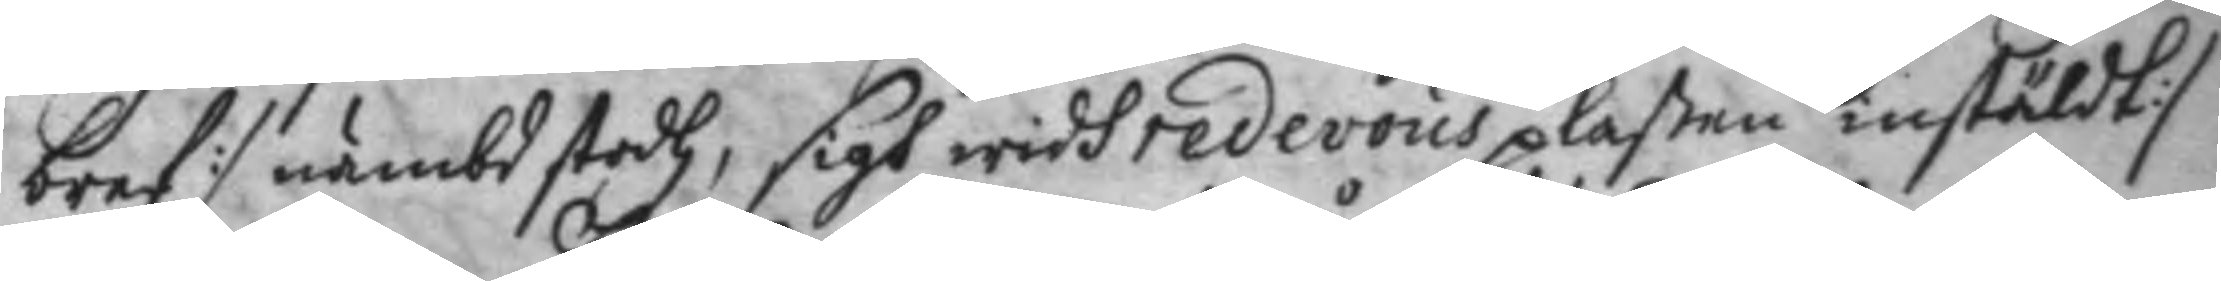bref :/ nämbd stodh, sigh widh redevous platsen instäldt :/
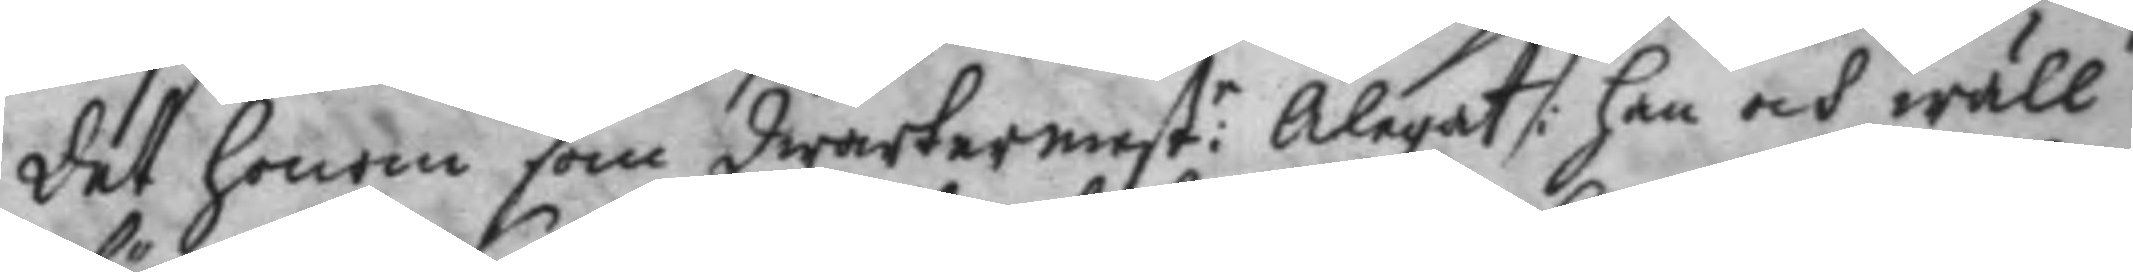det honom som Qwartermest:r Ålegat /: han och wäll
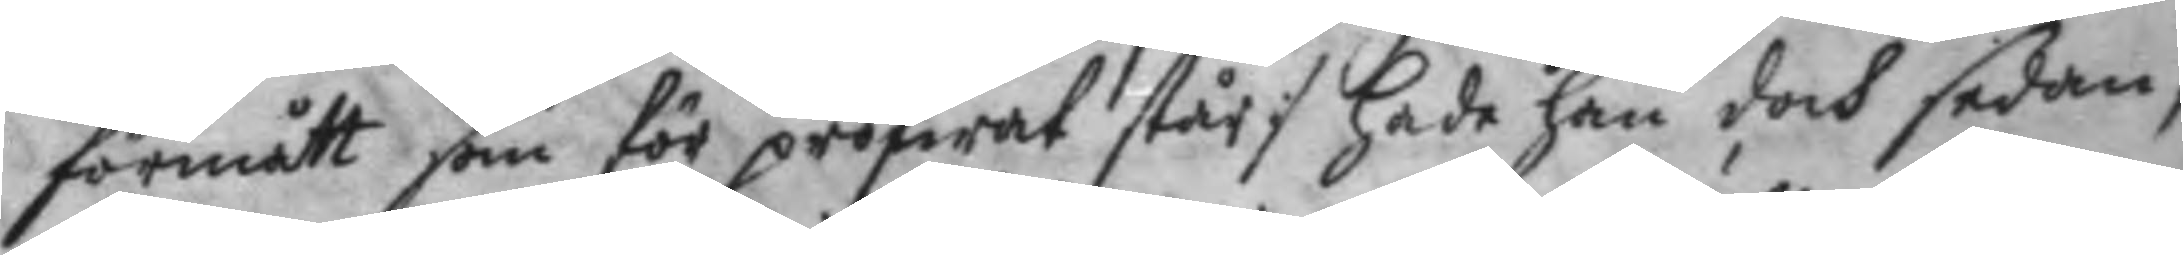förmått som för pröfwat står:/ hade han doch sedan,
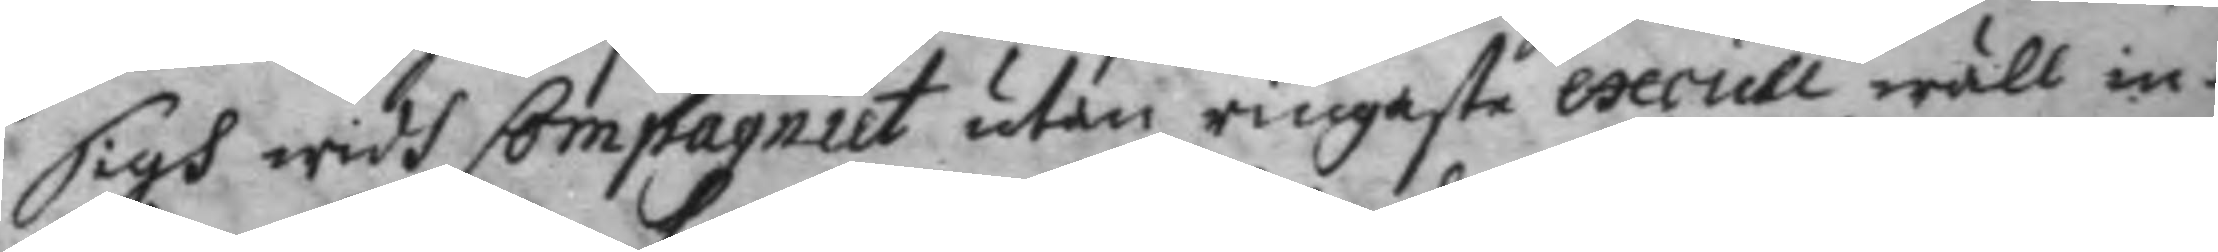sigh widh Compagniet, utan ringaste excull wäll in¬
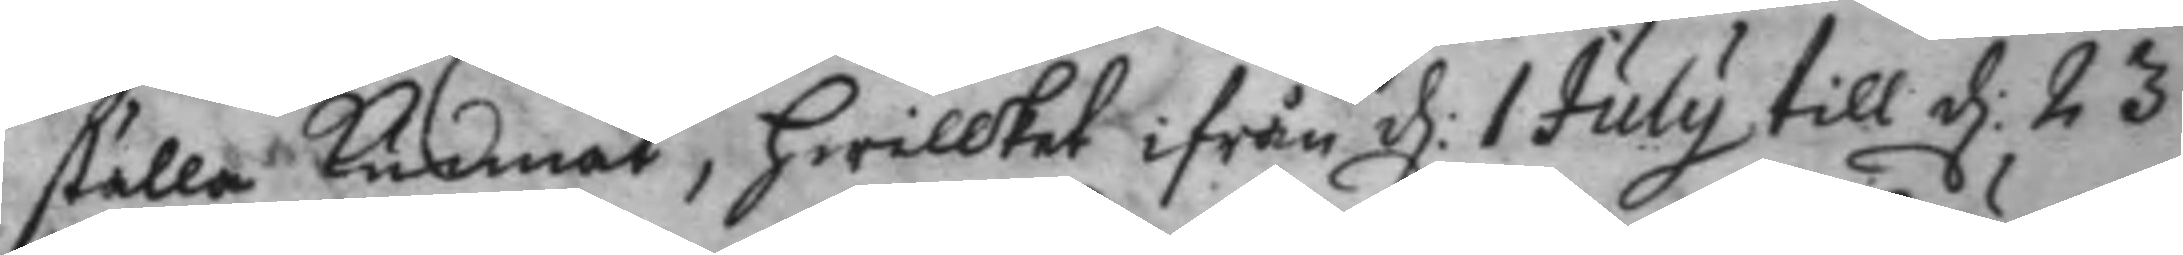ställa kunnat, hwilket ifrån d: 1 July till d: 23 
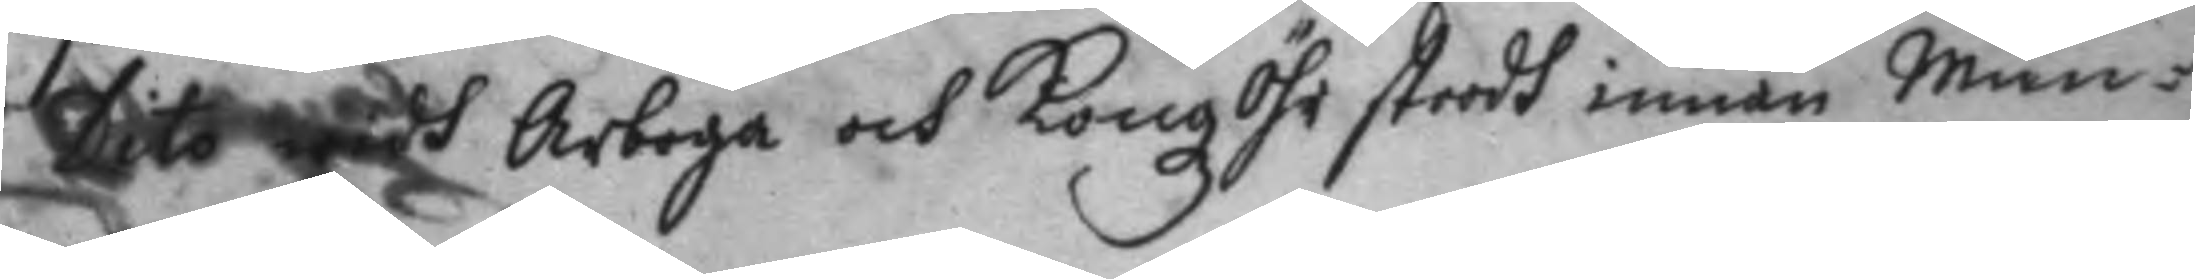Dito widh Arboga och KongzÖhr stoodh innan Mun¬
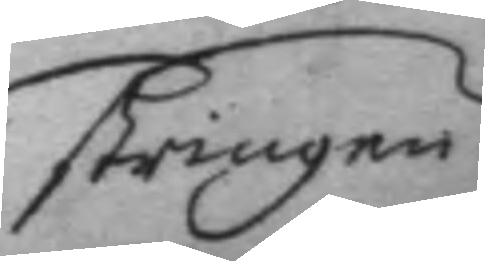stringen
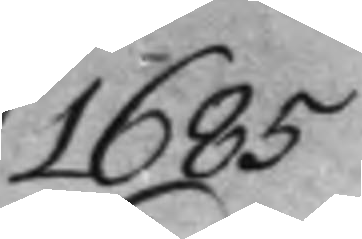1685
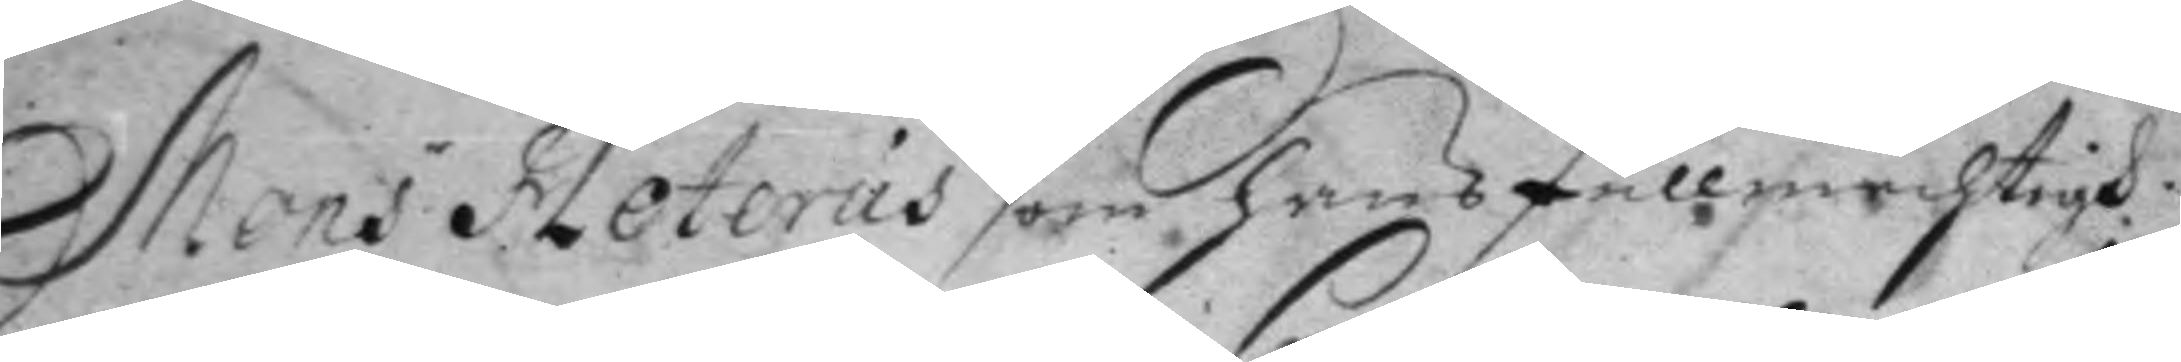Mons dr Leterus som hans fullmechtigh
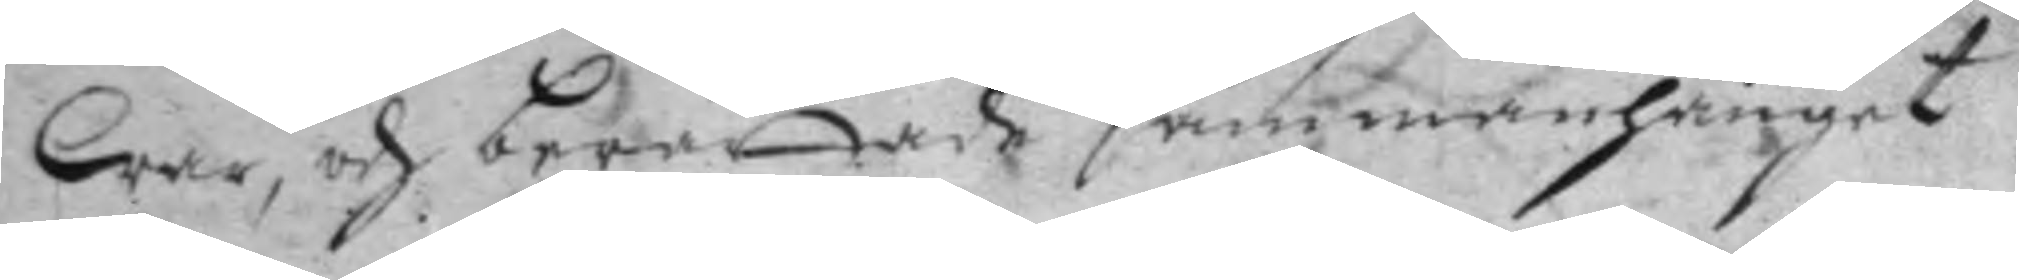War, och berättade sammanhanget
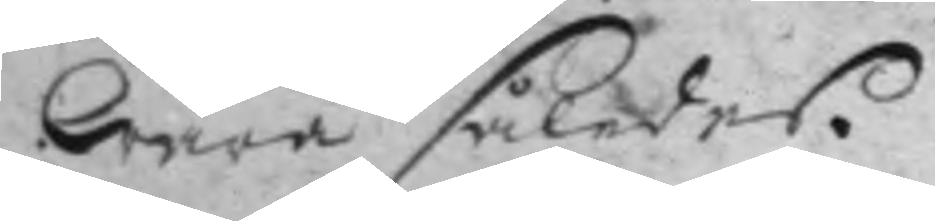Wara således.
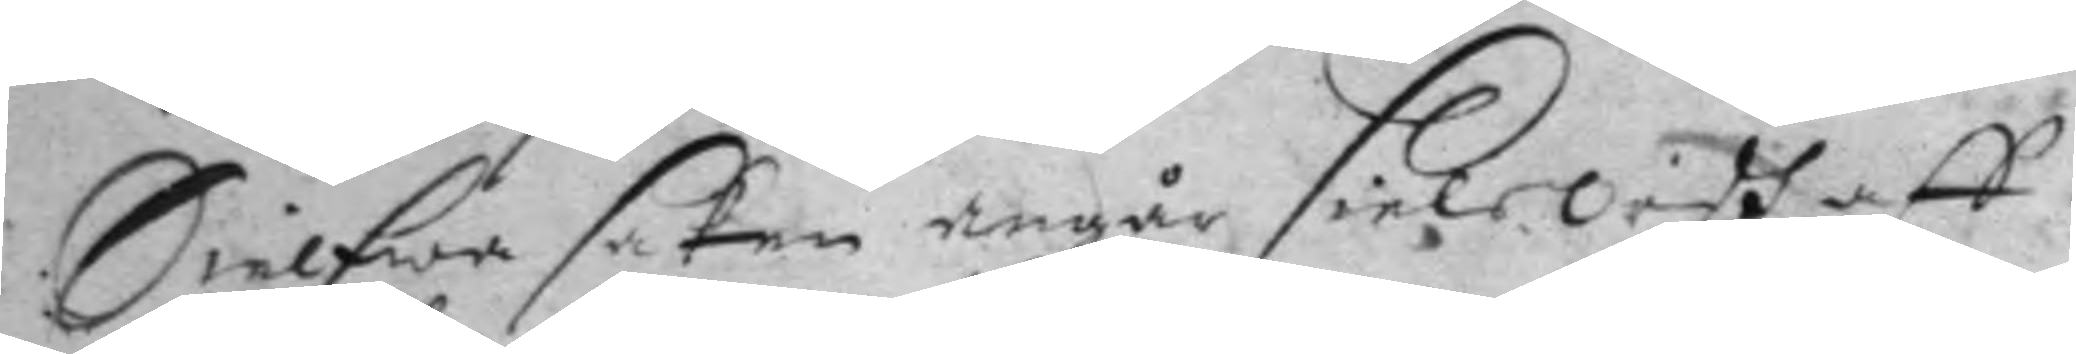Sielfwa saken angår siels Ordh aff
